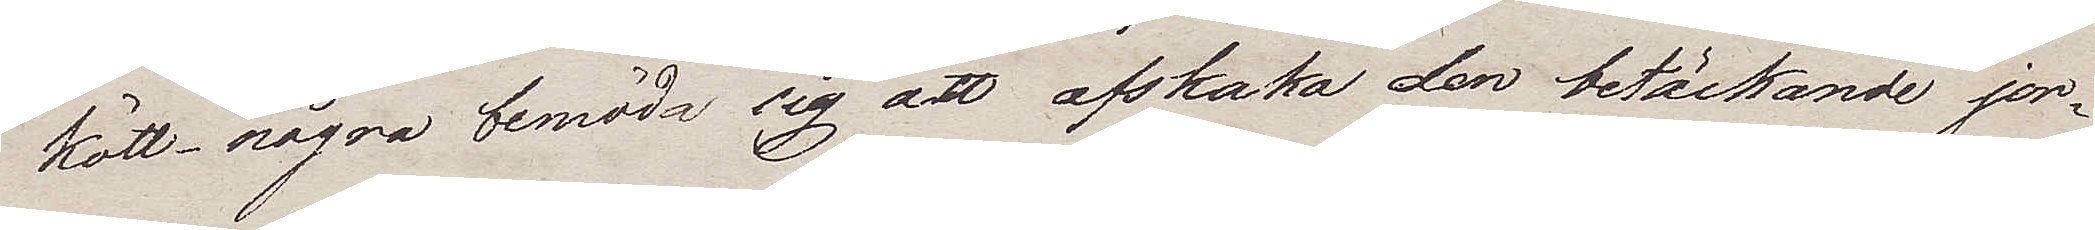kött, några bemöda sig att afskaka den betäckande jor¬
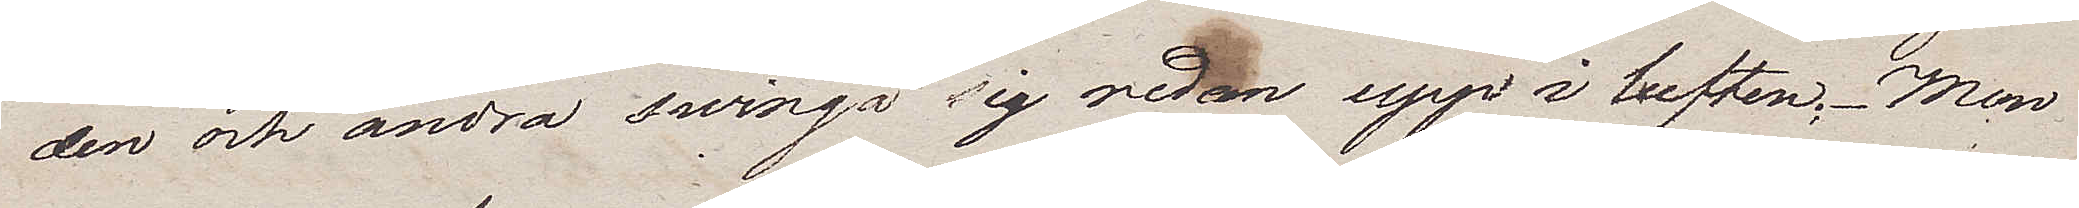den och andra swinga sig redan upp i luften. Men
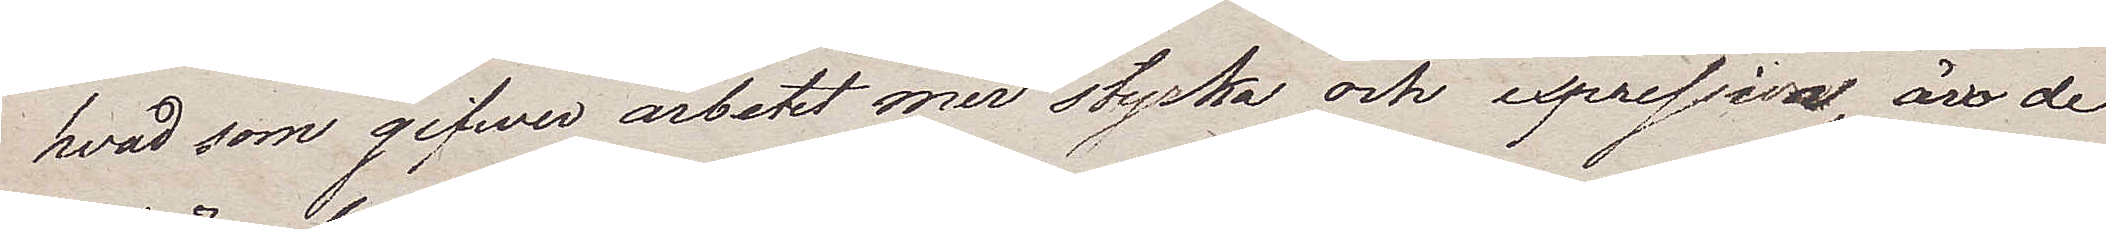hvad som gifwer arbetet mer styrka och exprission, äro de
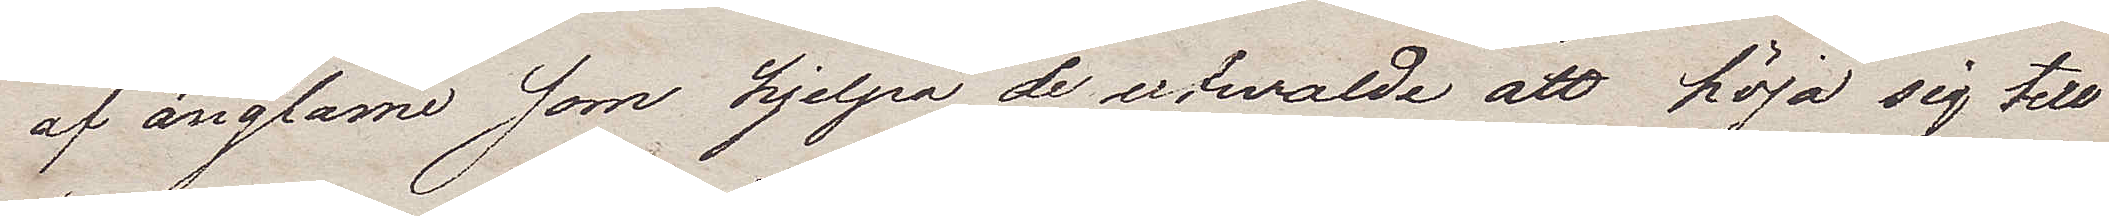af änglamne som hjelpa de utwalde att höja sig till
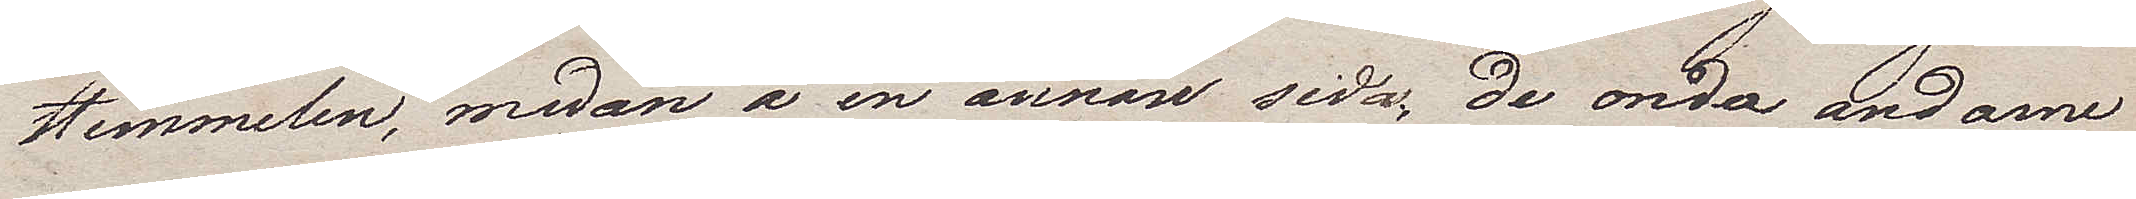Himmelen, medan å en annan sida, de onda andarne
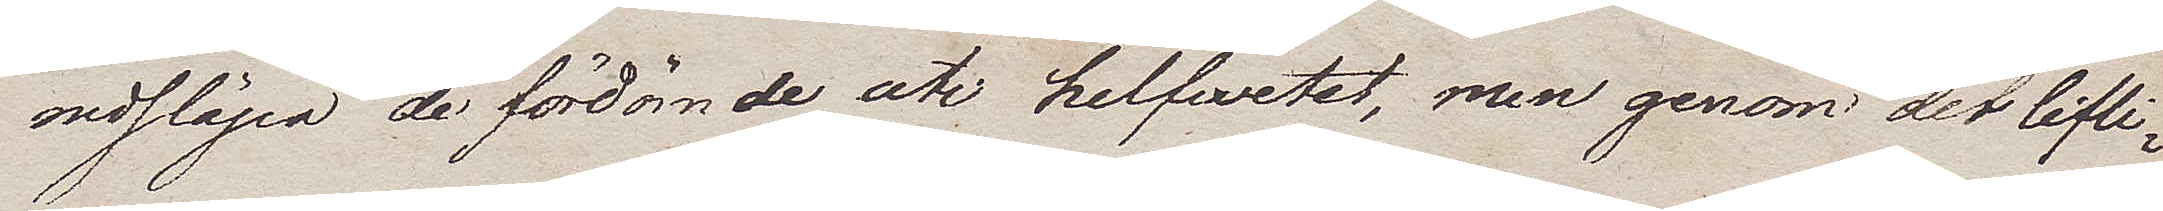nedsläpa de fördömde uti helfwetet, men genom det lifli¬
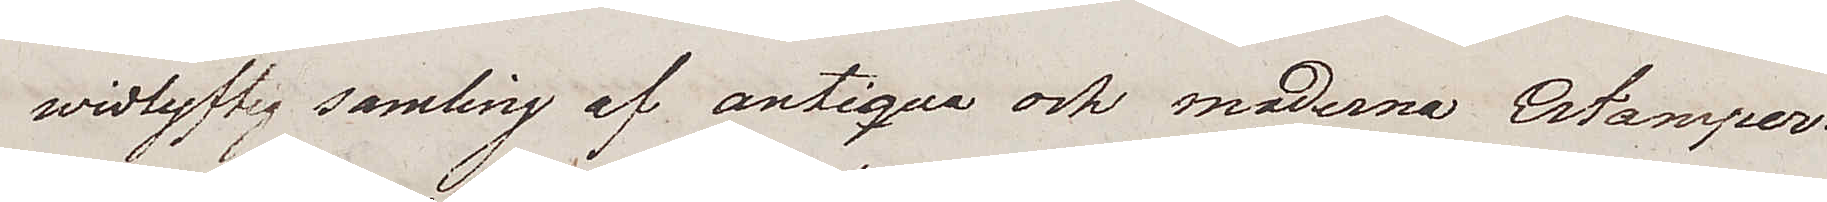widlyftig samling af antiqua och moderna Estamper.
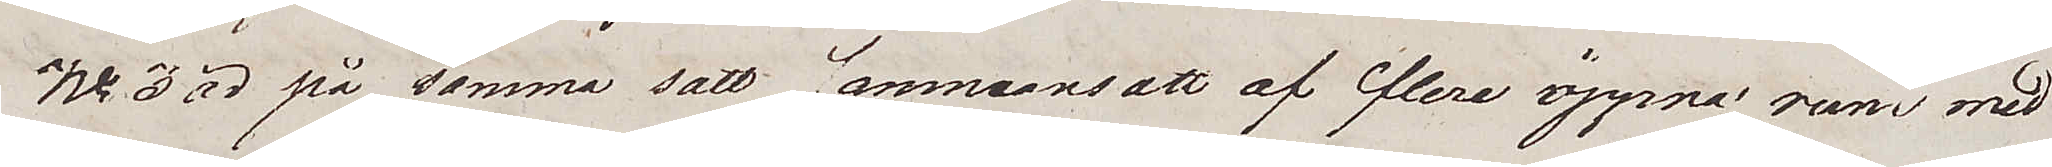No 3 är på samma sätt sammansatt af flere öppna rum med
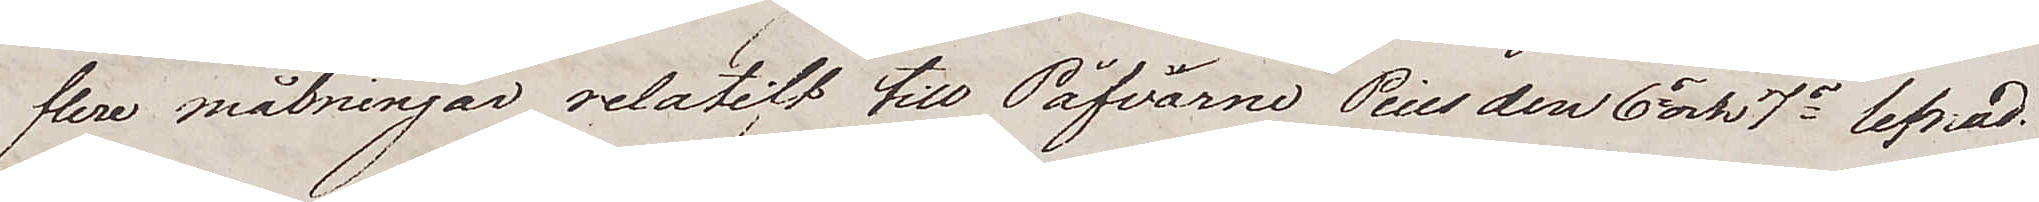flere målningar relatift till Påfvarne Pius den 6s och 7s lefnad.
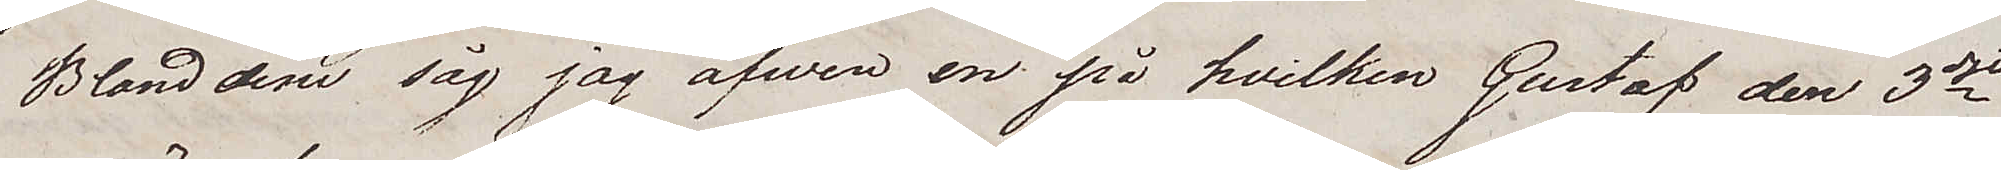Bland dem såg jag äfwen en på hvilken Gustaf den 3dje
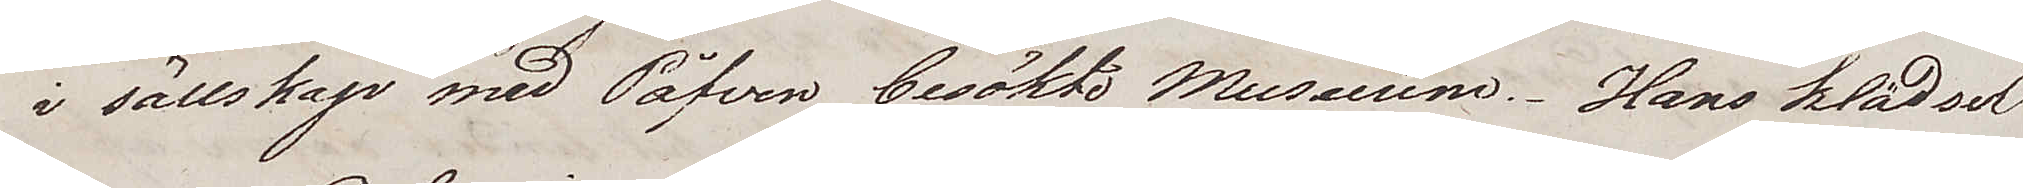i sällskap med Påfven besökte Museeum. Hans klädsel
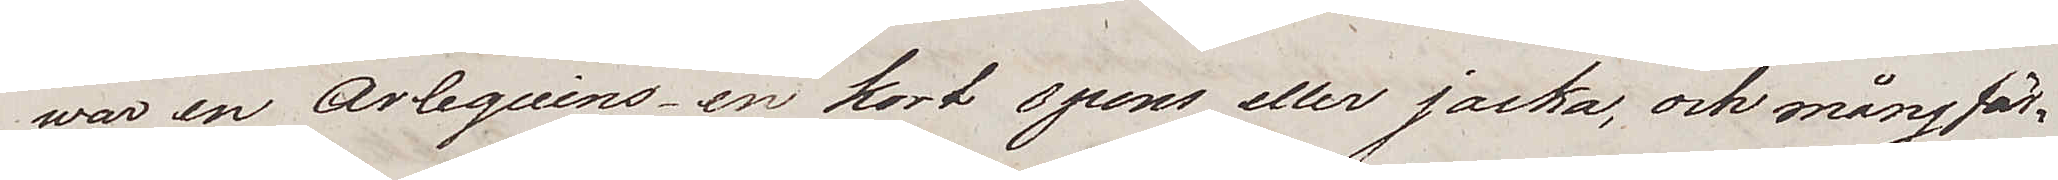war en Arlquins – en kort spens eller jäcka, och mångfär¬
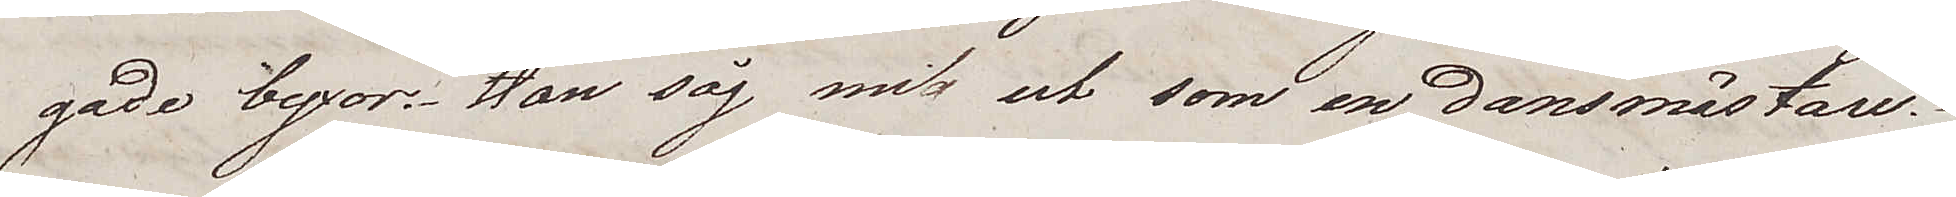gade byxor. Han såg mig ut som en dansmästare.
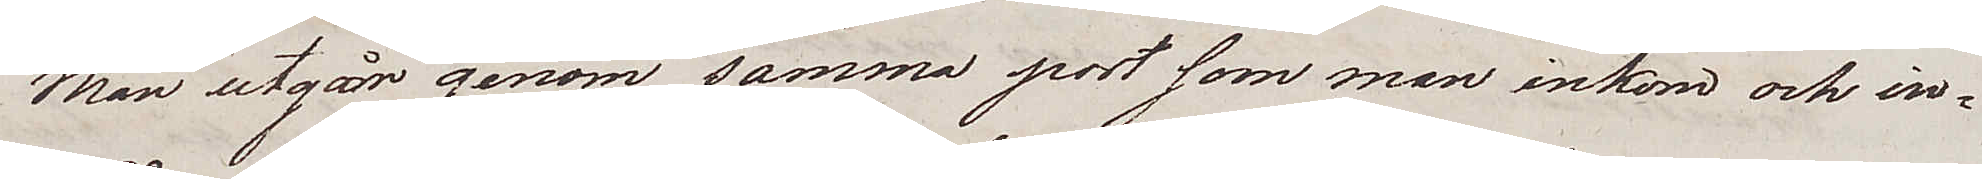Man utgår genom samma port som man ankom och in¬
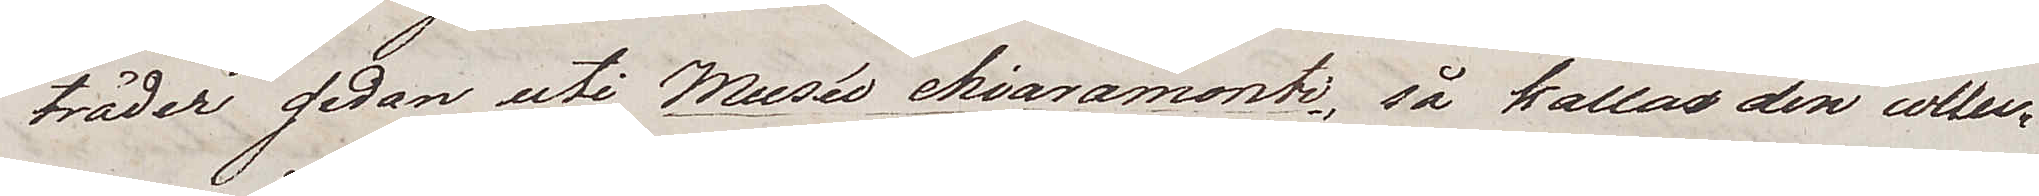träder sedan uti Musée chiaramonti, så kallas den collec¬
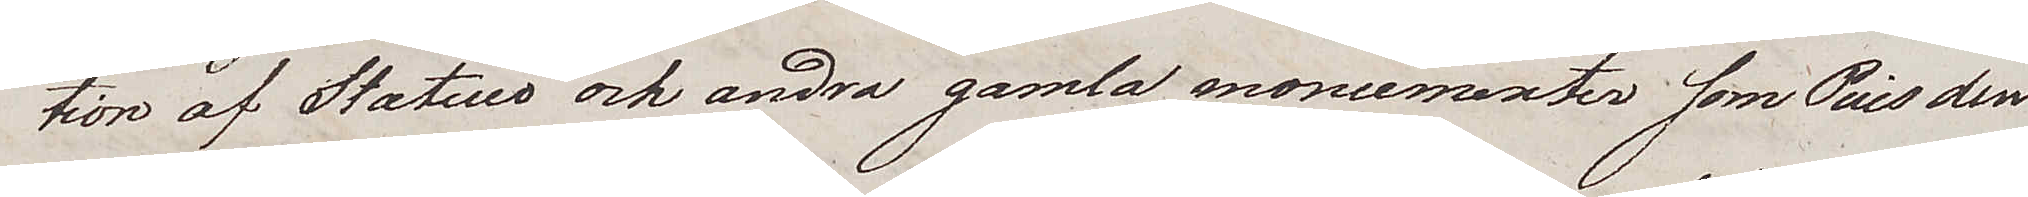tion av Statuer och andra gamla monumenter som Pius den
